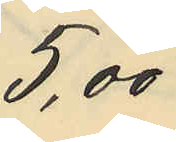5,00
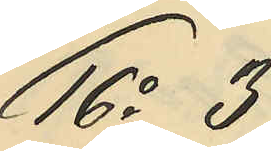16o 3
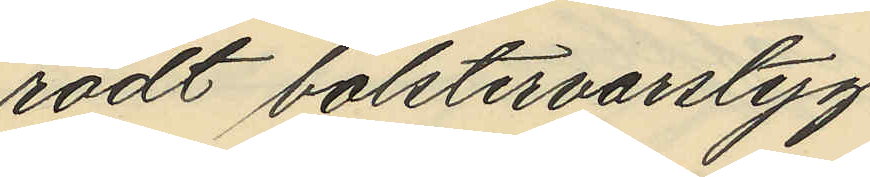rödt bölstervarstyg
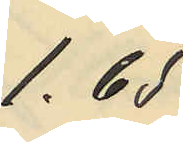1,65
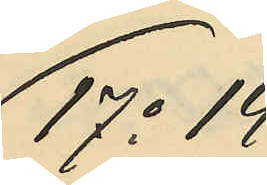17o 14
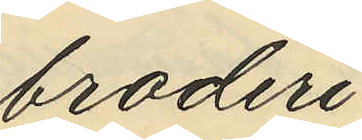broderi
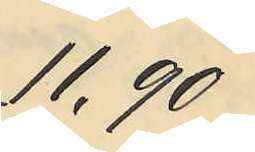11,90
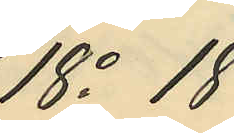18o 18
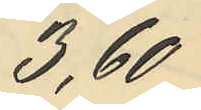3,60
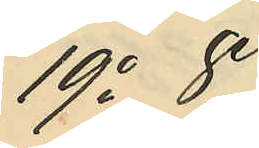19o 8
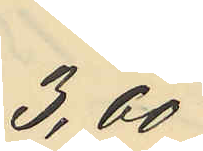3,60
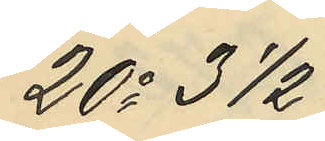20o 4 1/2
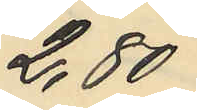2,80
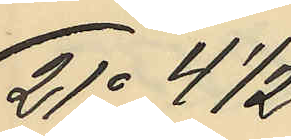21o 4 1/2
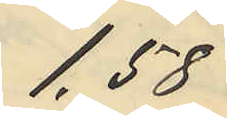1,58
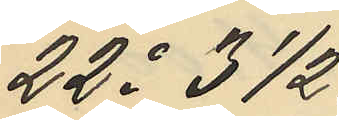22o 3 1/2
